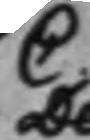C
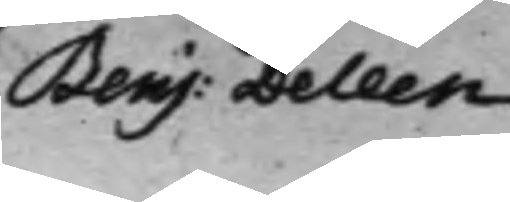Benj: Deleen
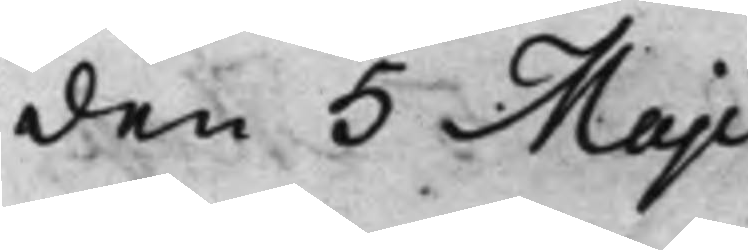den 5 Maji
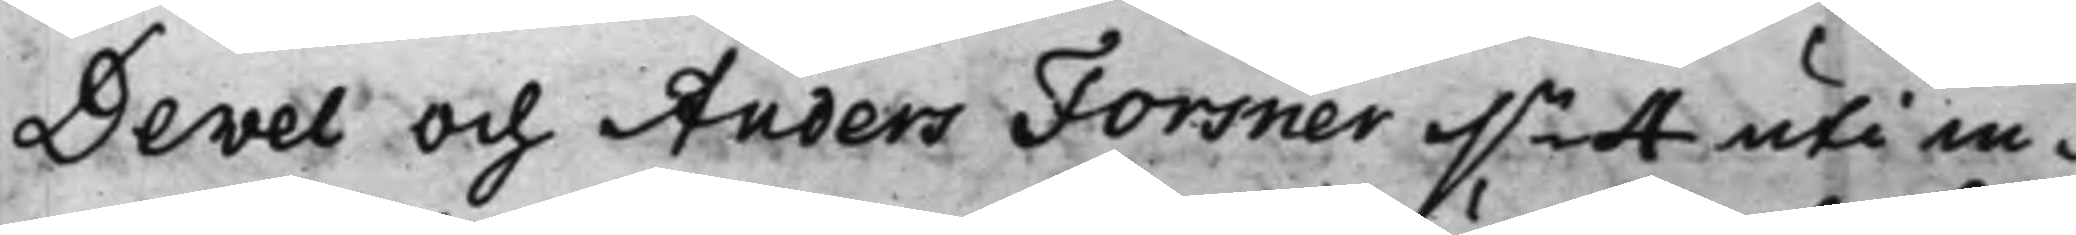Devel och Anders Forsner dn 4 uti in¬
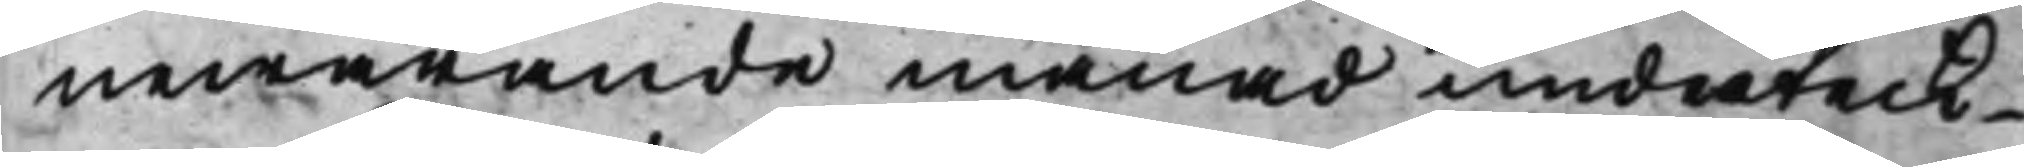newarande månad underteck¬
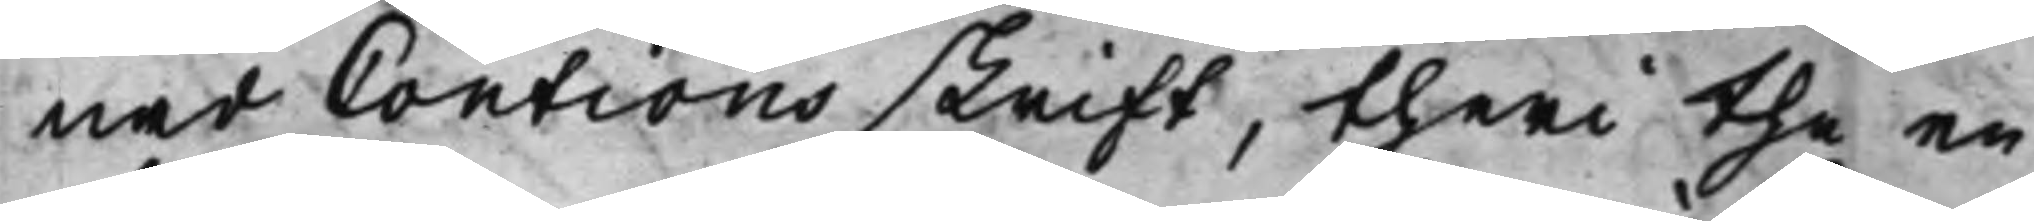nad Coutions skrift, theri the en
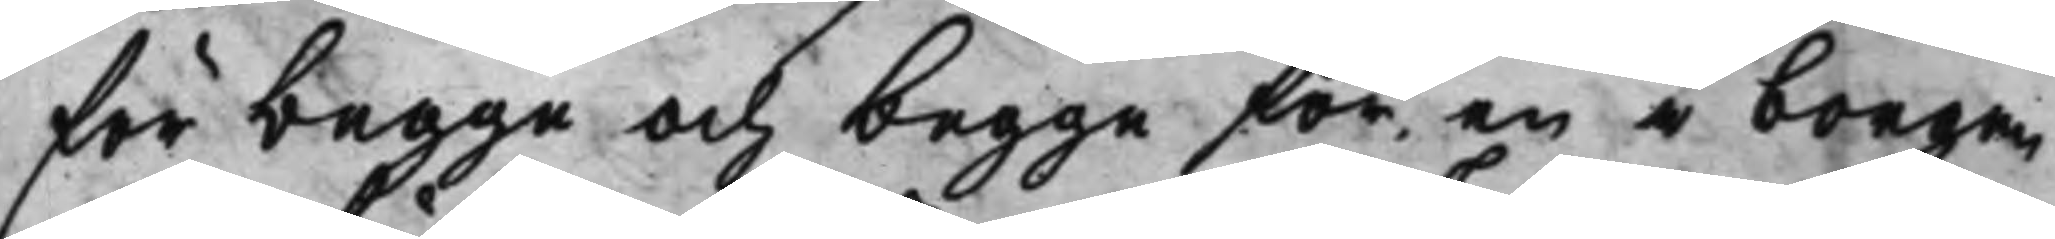för begge och begge för en i borgen
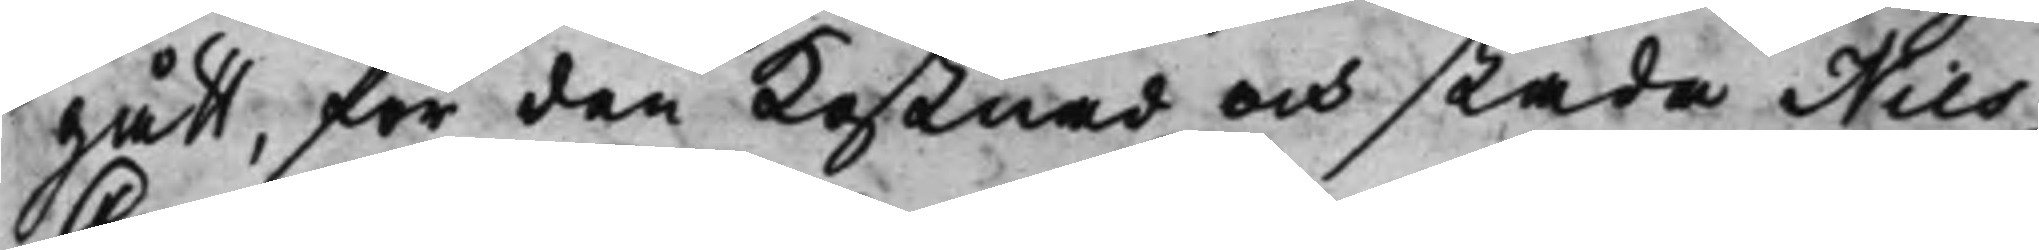gått, för den kostnad och skada Nils
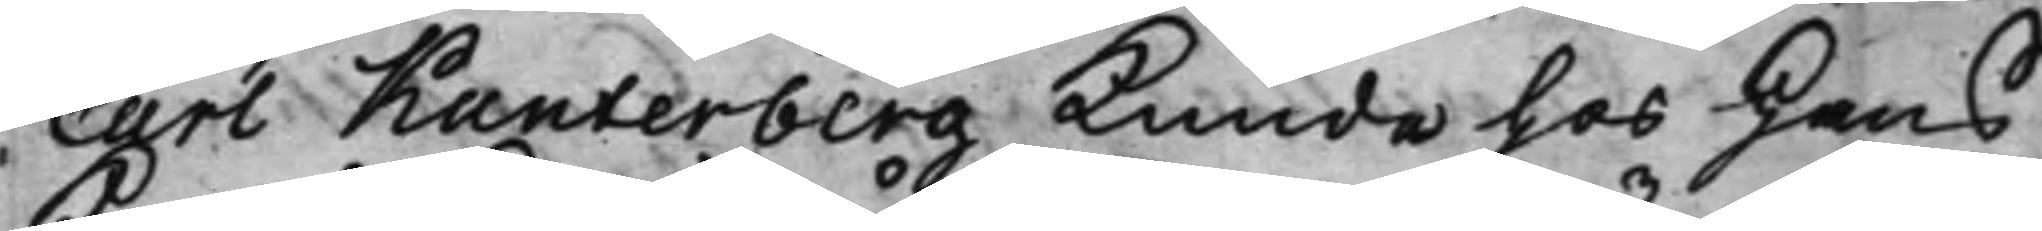Carl Kanterberg Kunde hos Hans
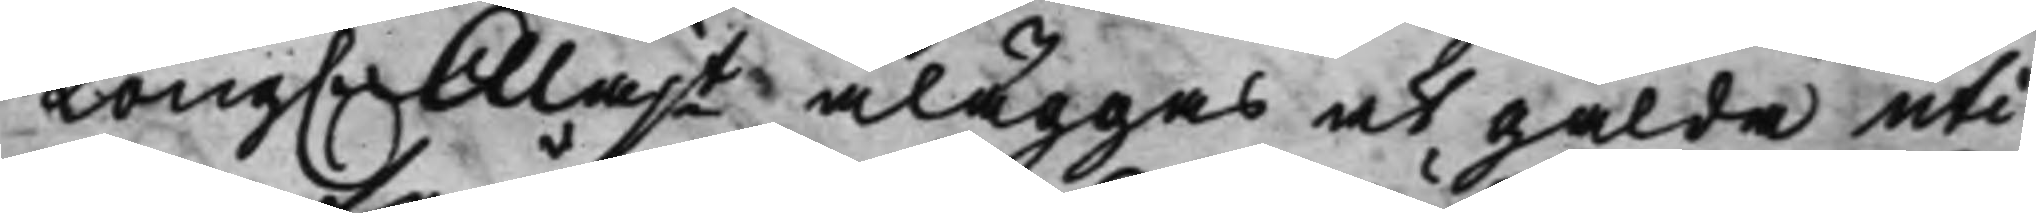Kong. Majt åläggas at gälda uti
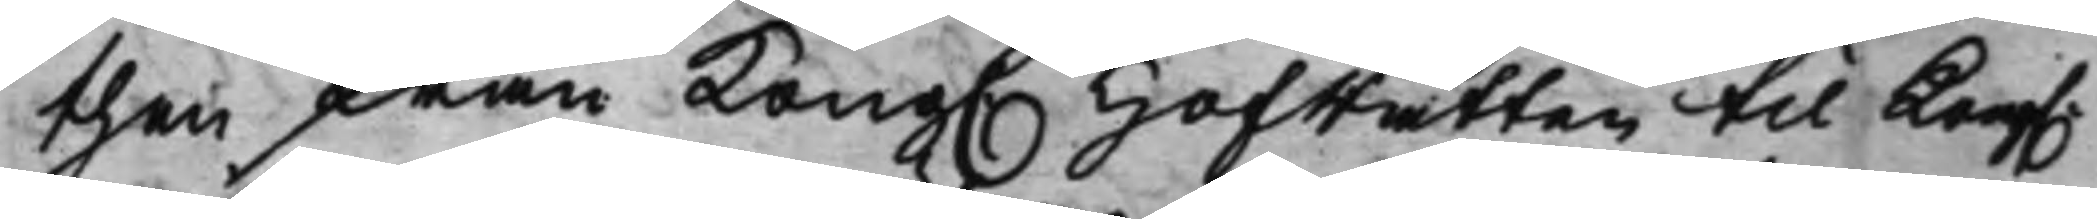then från Kong. Hofrätten til Kong.
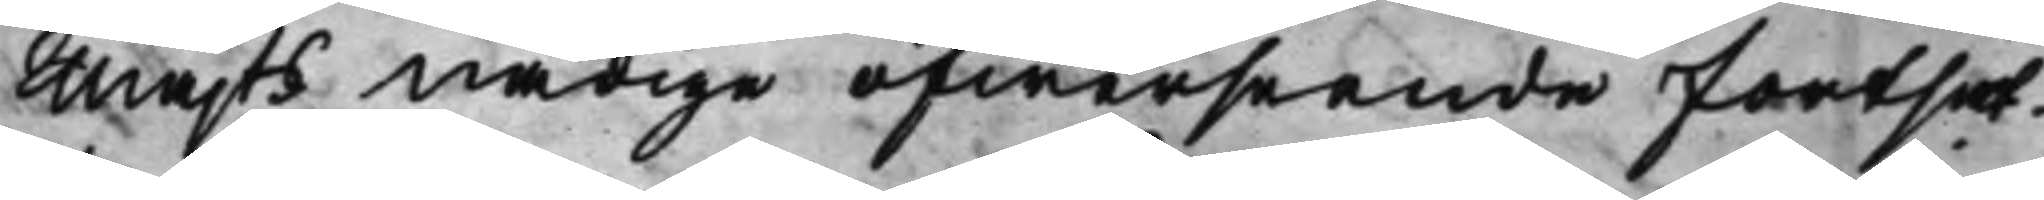Majts Nådige öfwerseende fortsat¬
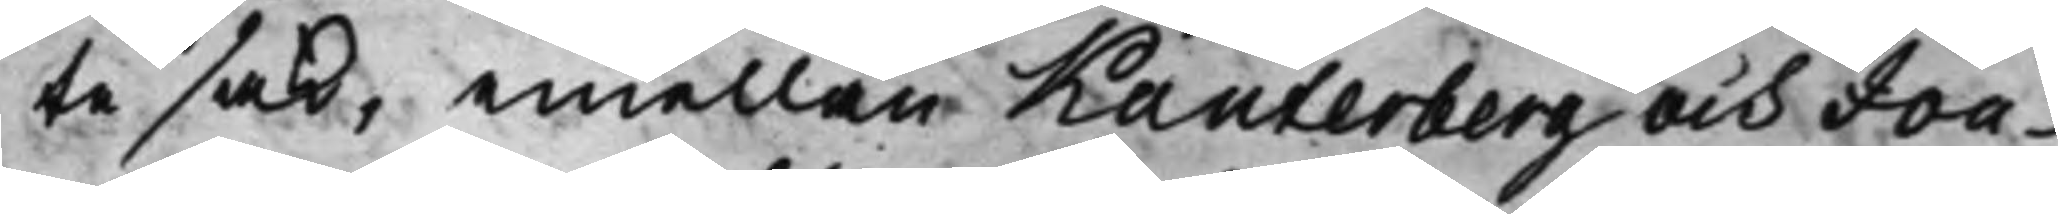te sak, emellan Kanterberg och Jou¬
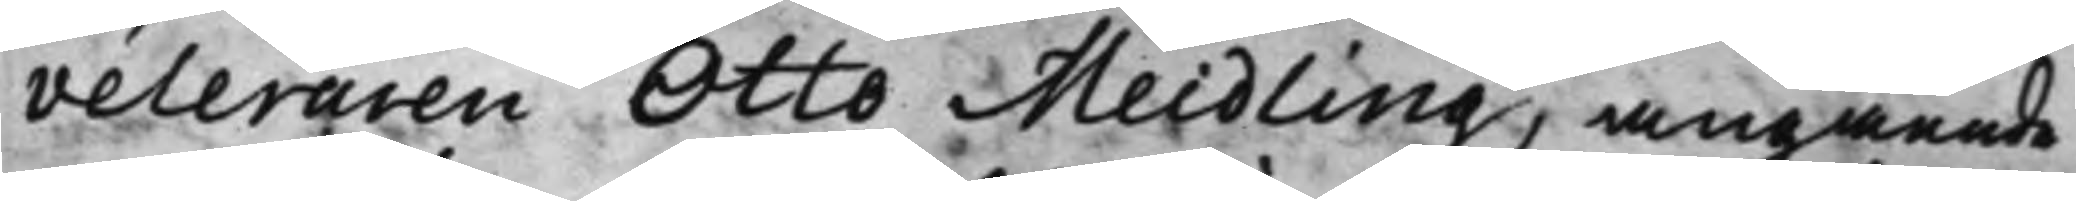veleraren Otto Meidling, angående
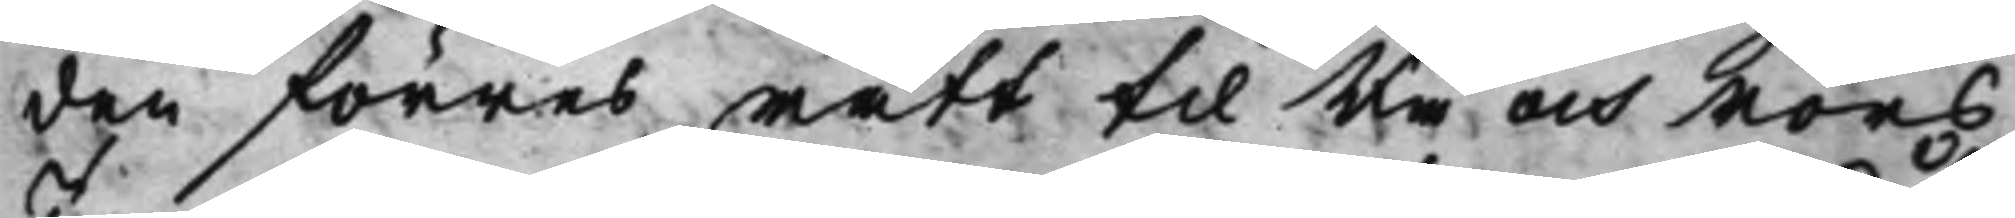den förres rätt til Rå och Rörs
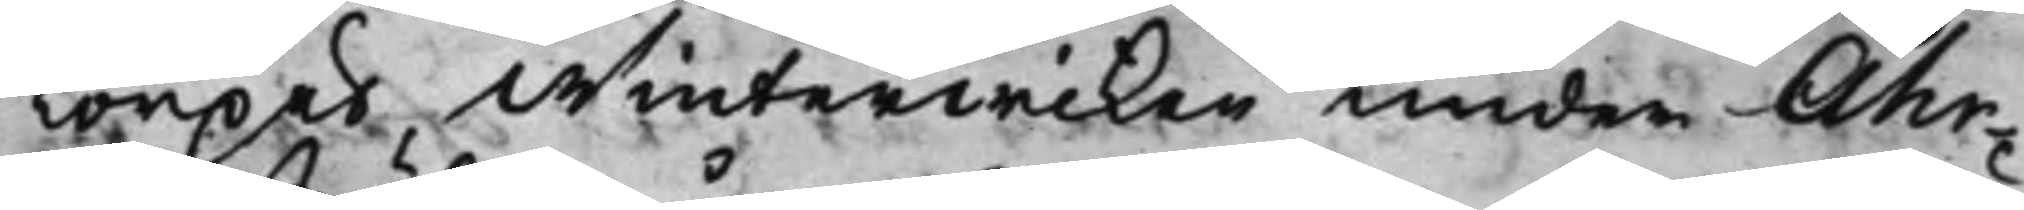Torpet Winterwiken under Åhr¬
